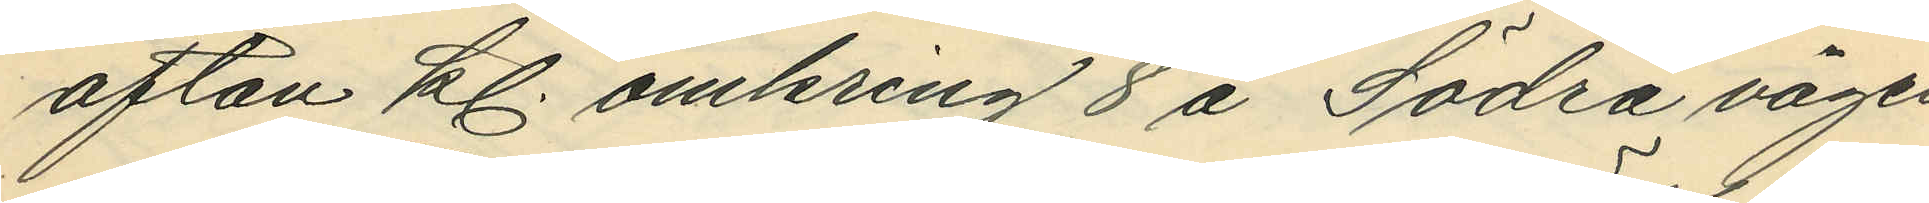afton kl. omkring 8 å Södra vägen
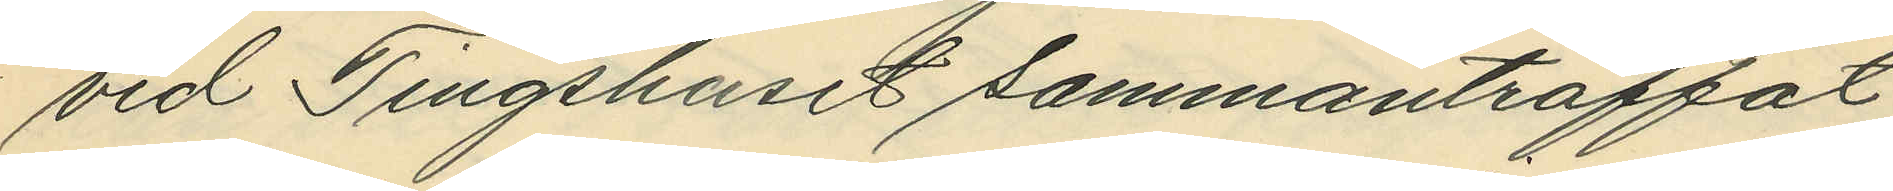vid Tingshuset sammanträffat
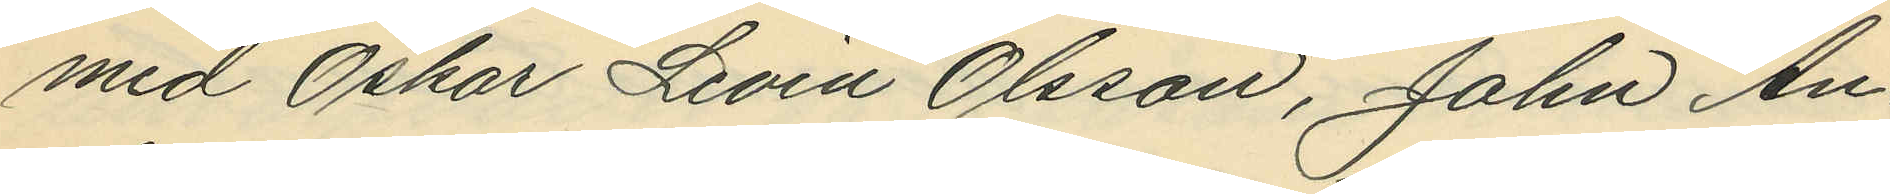med Oskar Levin Olsson, John An¬
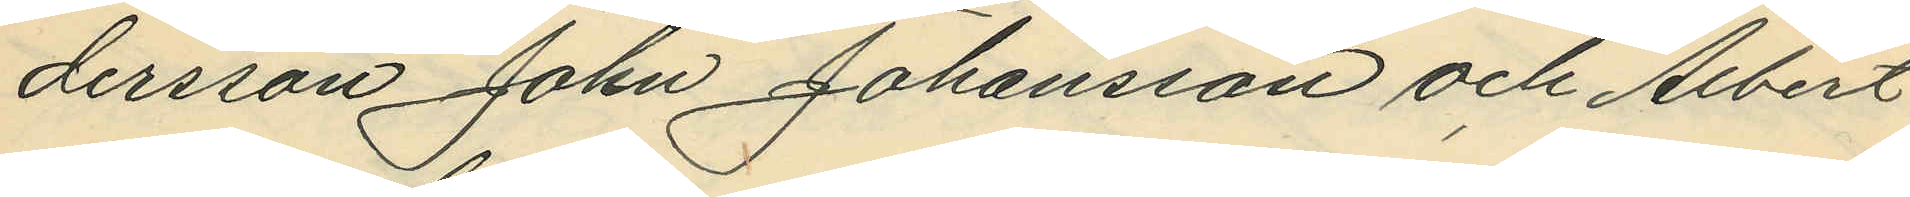dersson John Johansson och Albert
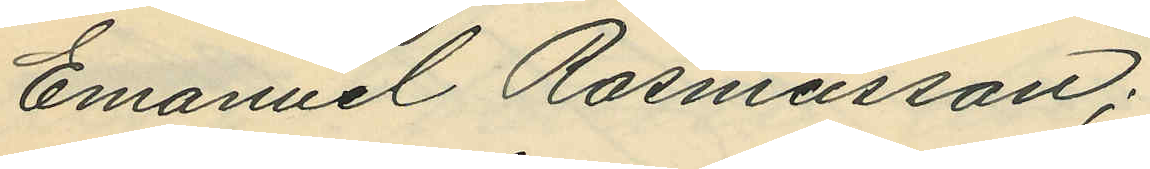Emanuel Rasmusson;
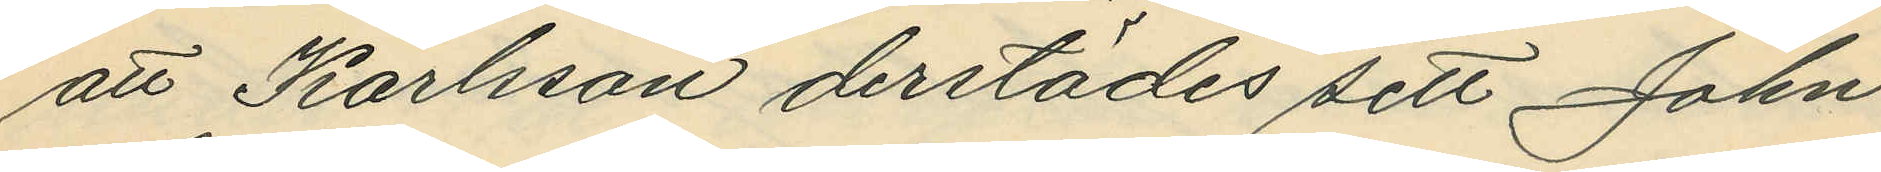att Karlsson derstädes sett John
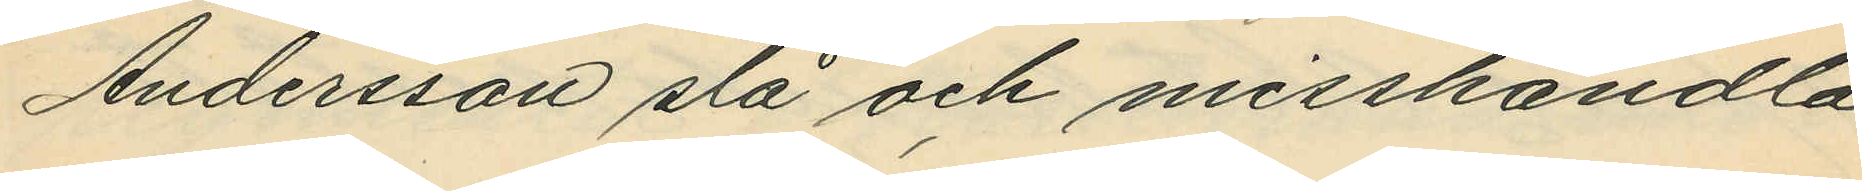Andersson slå och misshandla
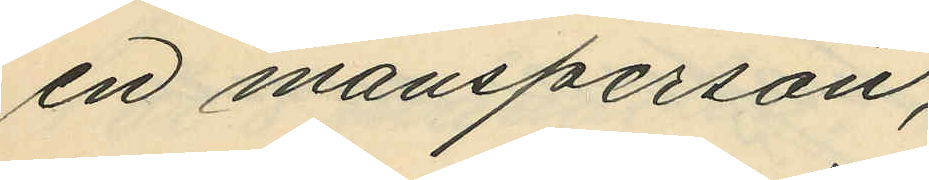en mansperson;
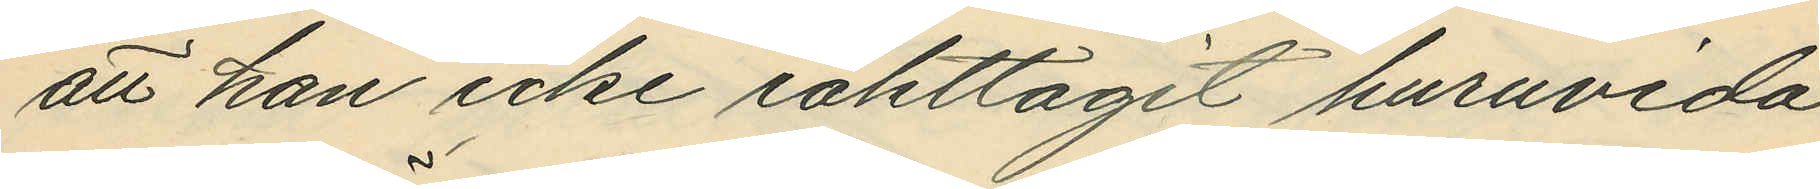att han icke iakttagit huruvida
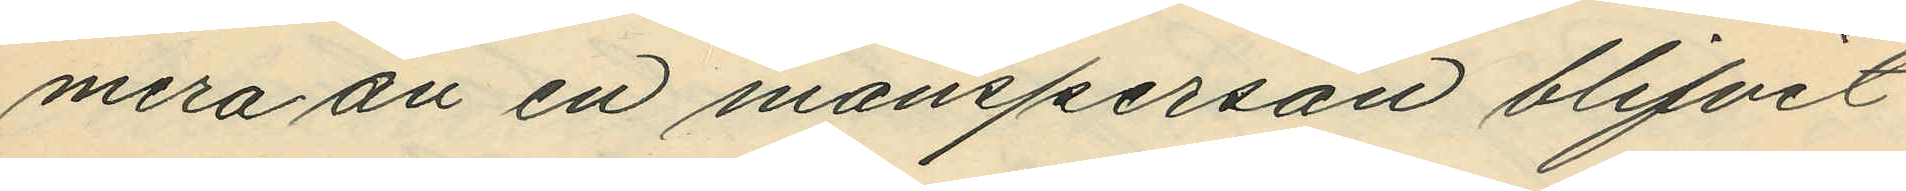mera än en mansperson blifvit
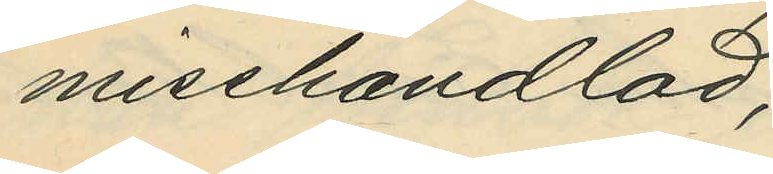misshandlad;
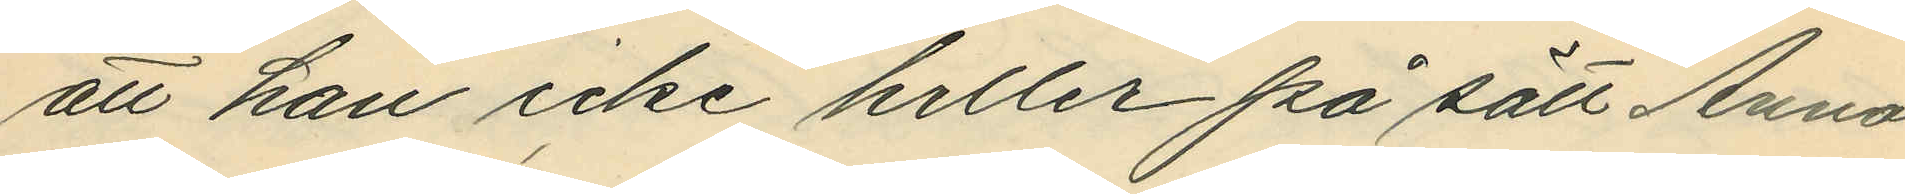att han icke heller på sätt Anna
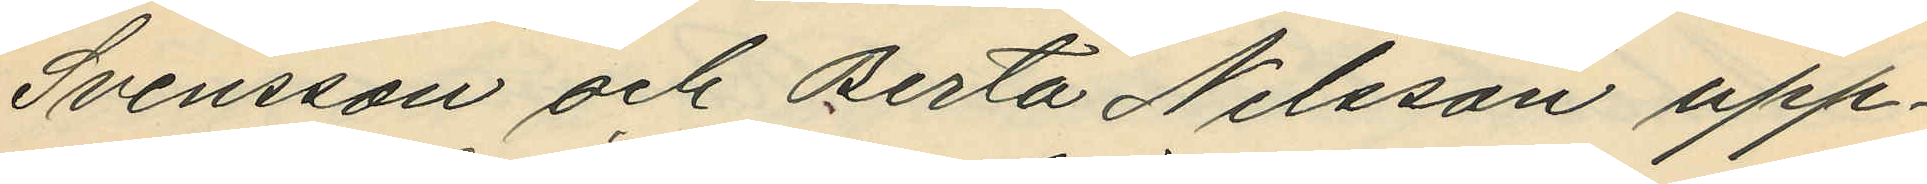Svensson och Berta Nilsson upp¬
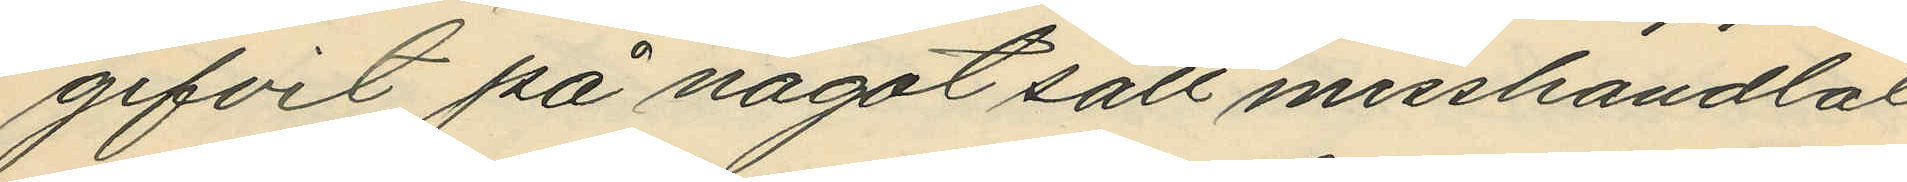gifvit på något sätt misshandlat
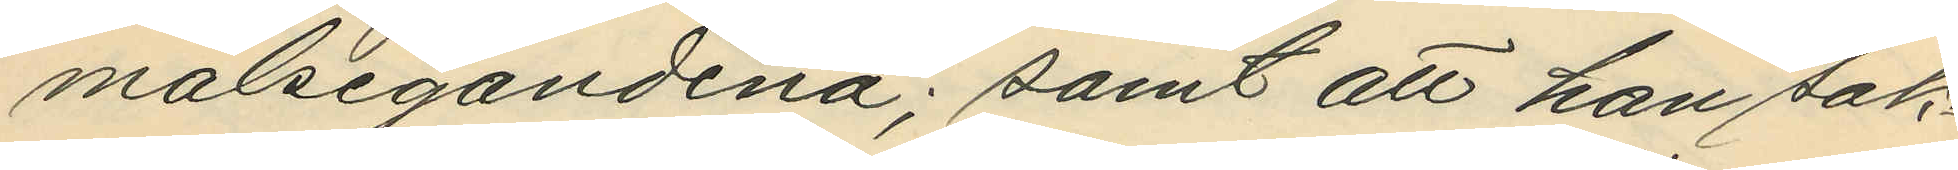målsegandena; samt att han sak¬
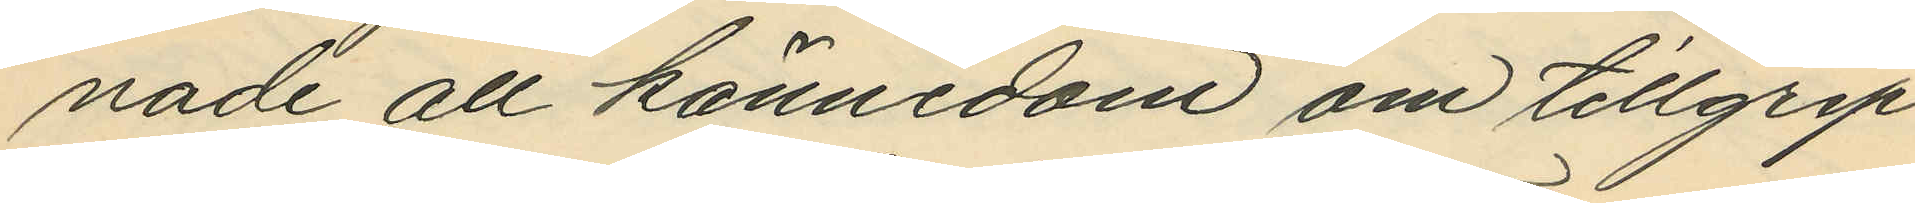nade all kännedom om tillgrep¬
